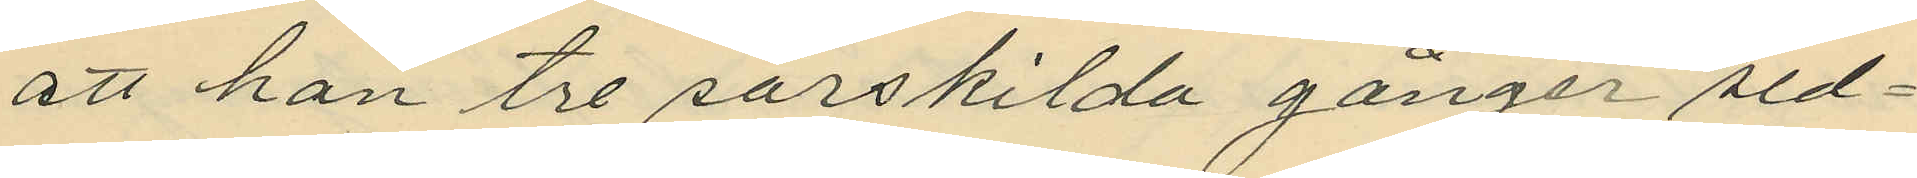att han tre särskilda gånger sed¬
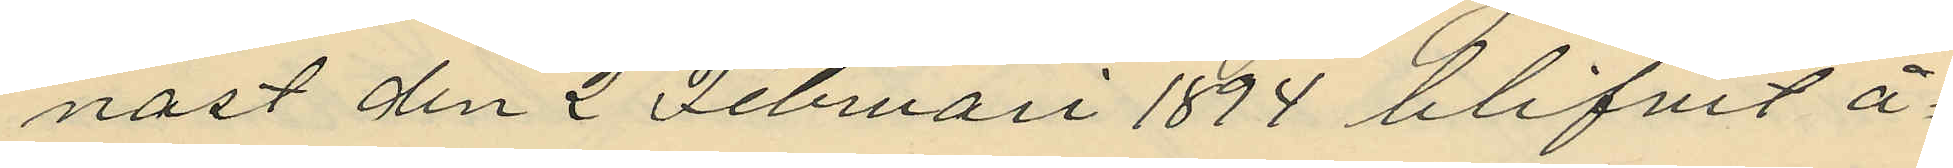nast den 2 Februari 1894 blifvit å¬
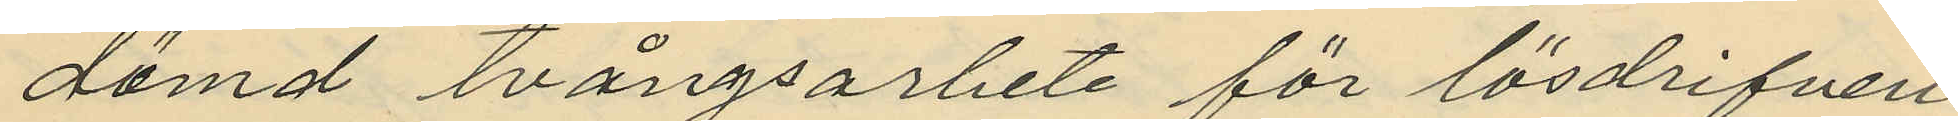dömd tvångsarbete för lösdrifveri
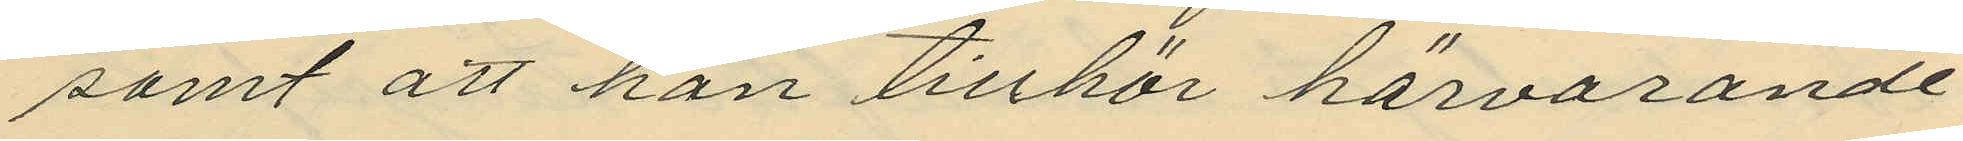samt att han tillhör härvarande
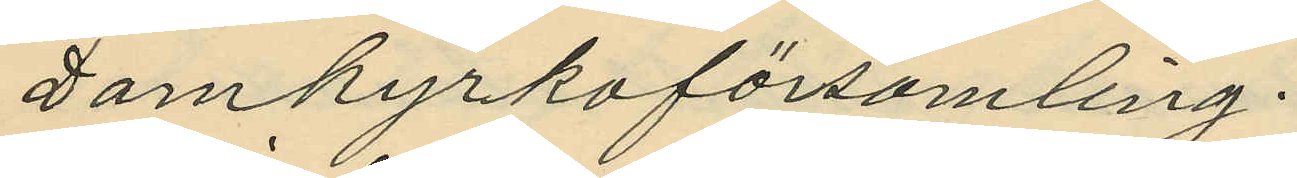Domkyrkoförsamling.
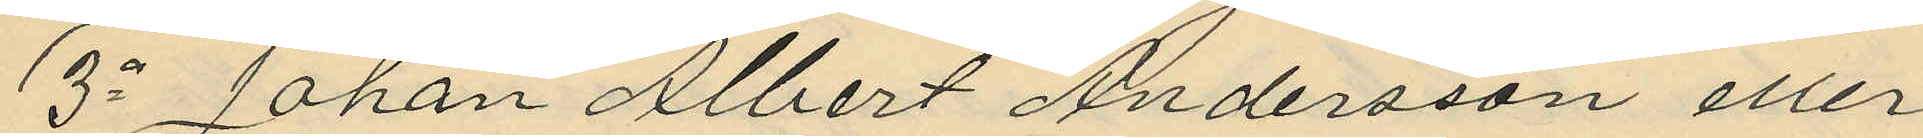3o Johan Albert Andersson eller
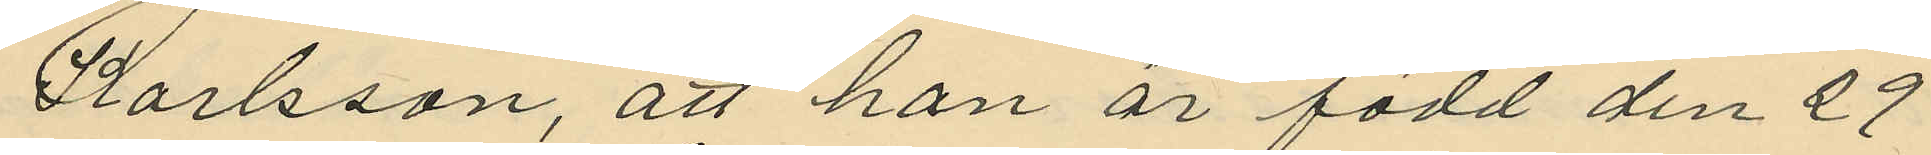Karlsson, att han är född den 29
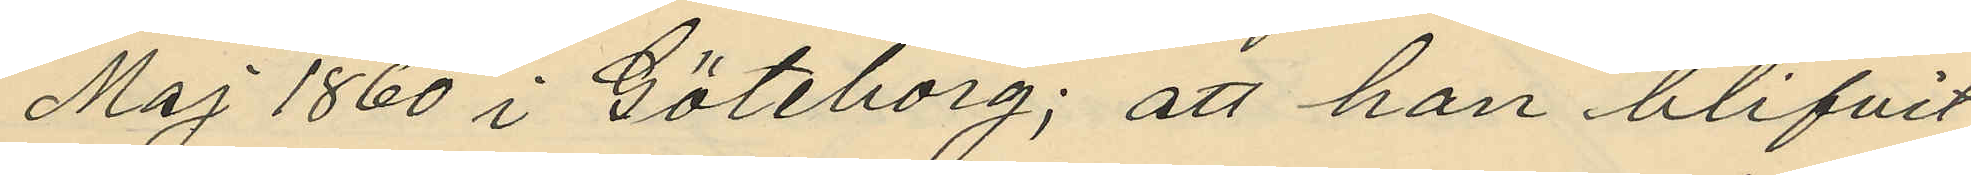Maj 1860 i Göteborg; att han blifvit
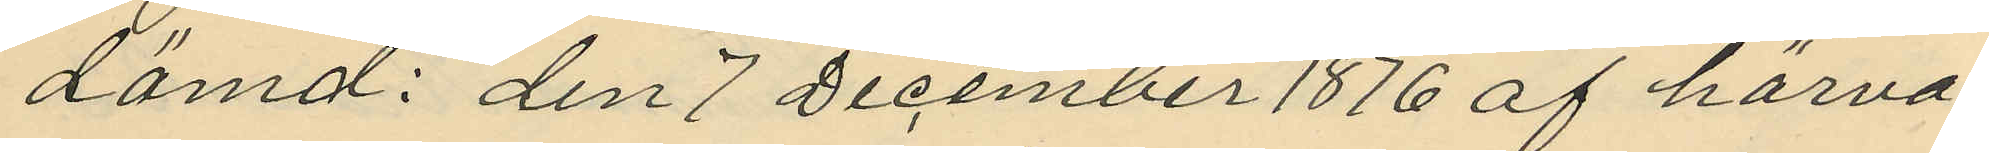dömd: den 7 December 1876 af härva¬
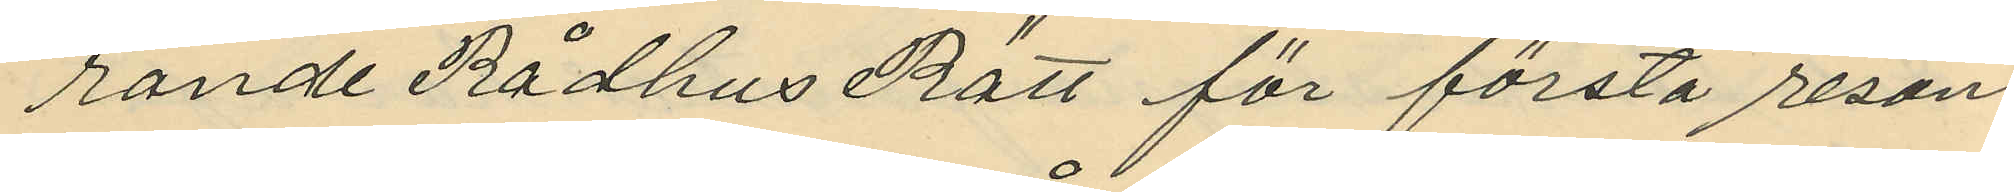rande Rådhus Rätt för första resan
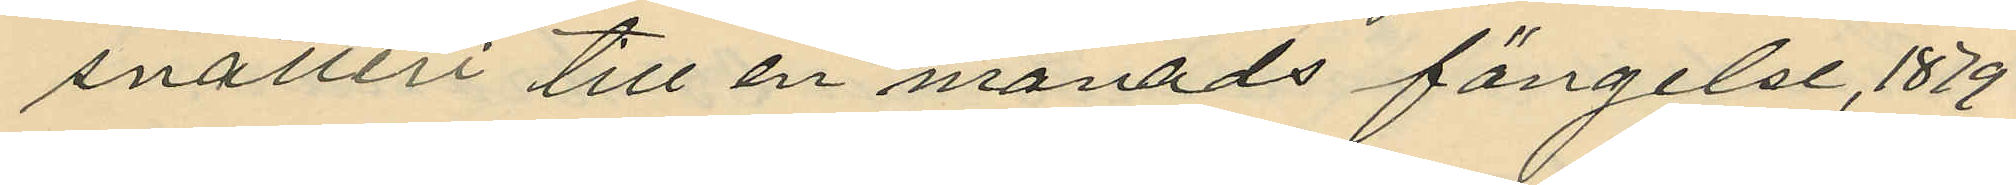snatteri till en månads fängelse, 1879
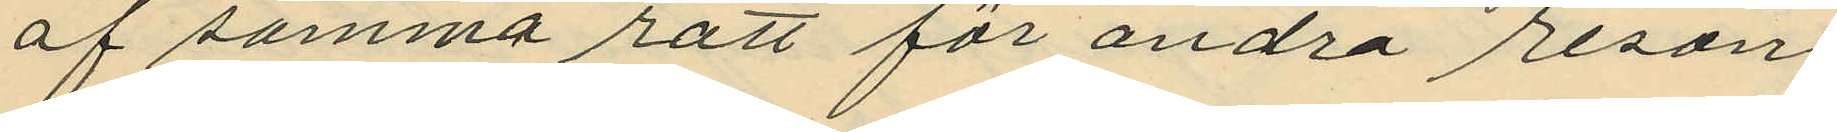af samma rätt för andra resan
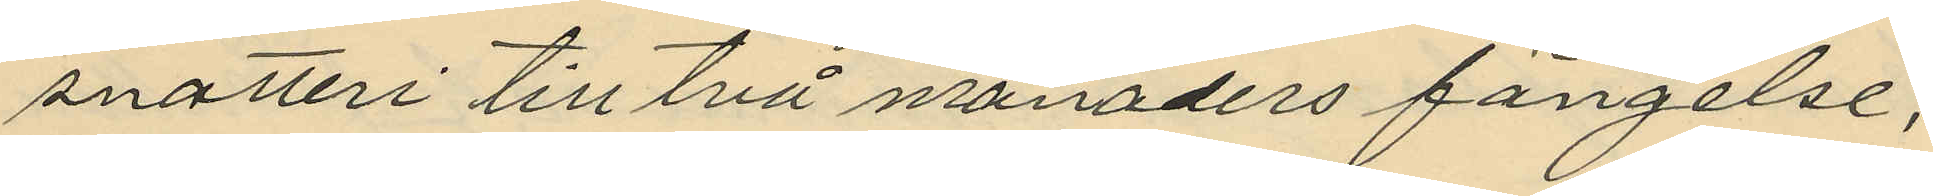snatteri till två månaders fängelse,
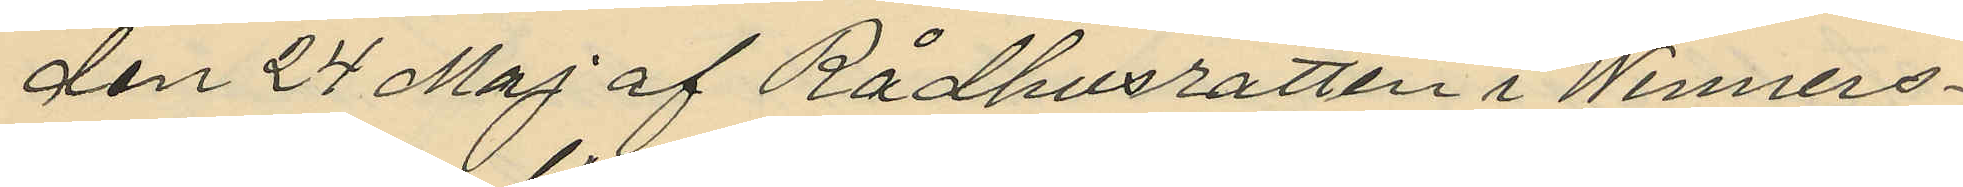den 24 Maj af Rådhusrätten i Wenners¬
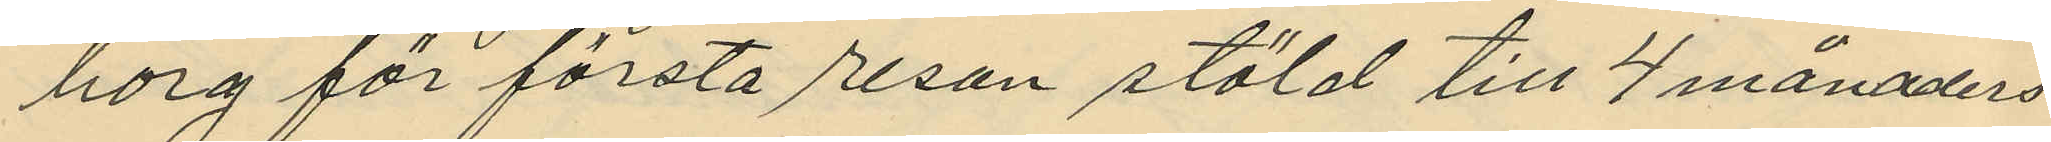borg för första resan stöld till 4 månaders
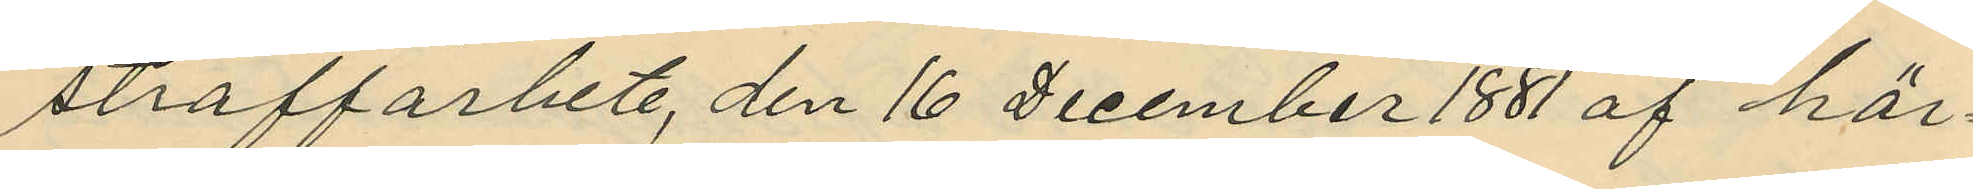straffarbete, den 16 December 1881 af här¬
